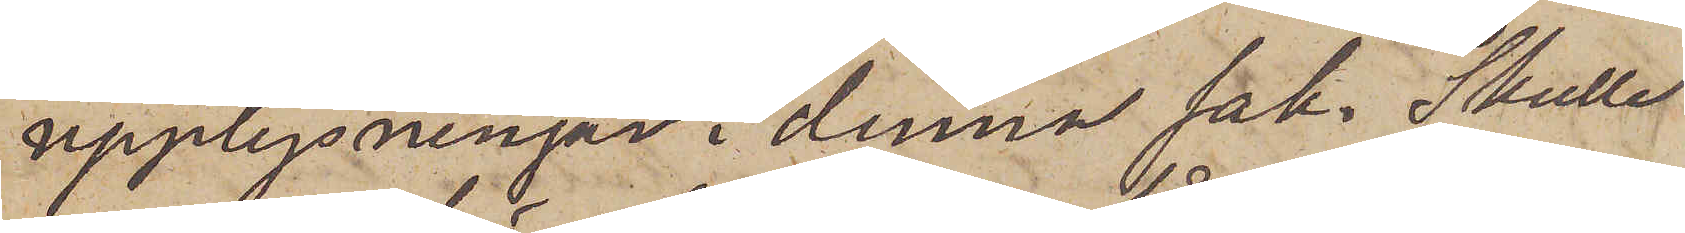upplysningar i denna sak. Skulle
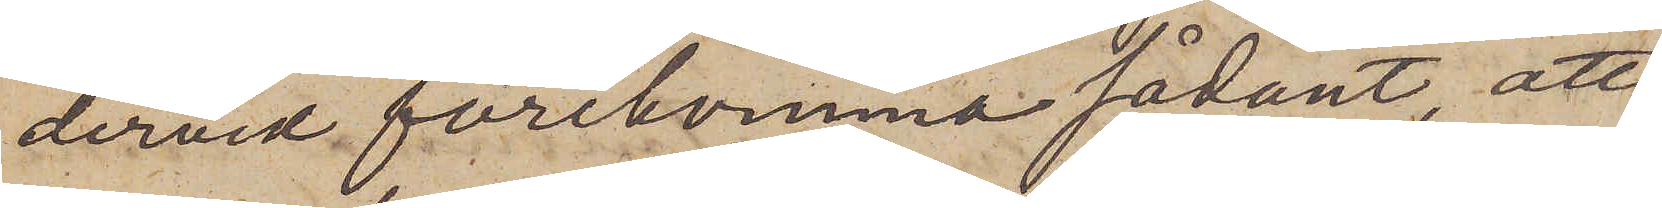dervid förekomma sådant, att
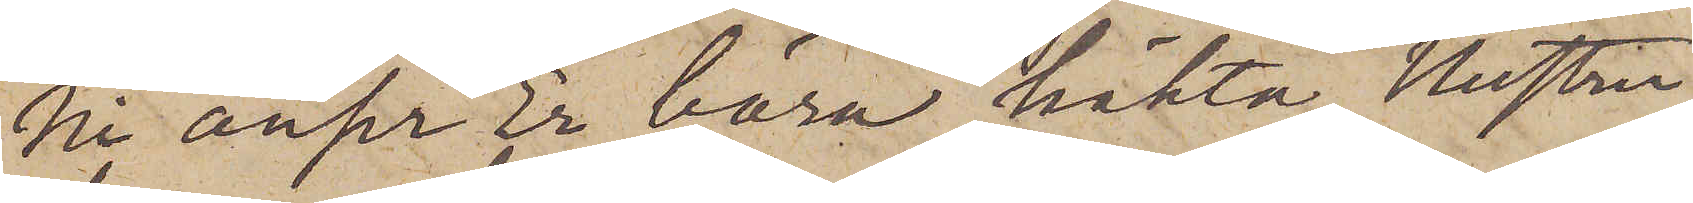Ni anser Er böra häkta Hustru
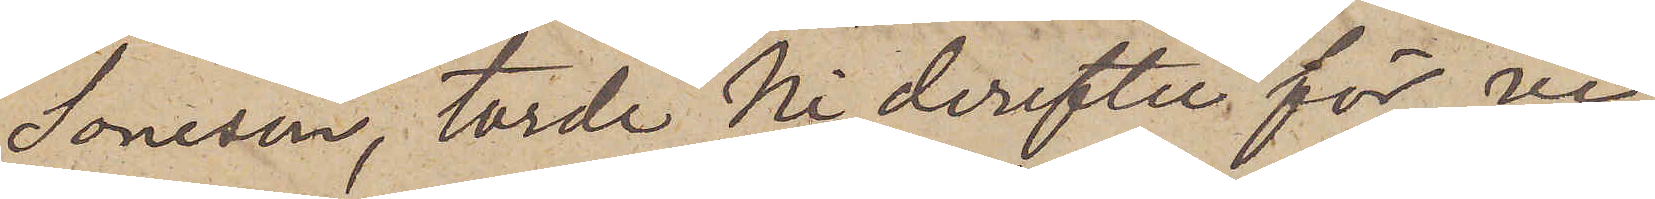Soneson, torde Ni derefter för vi¬
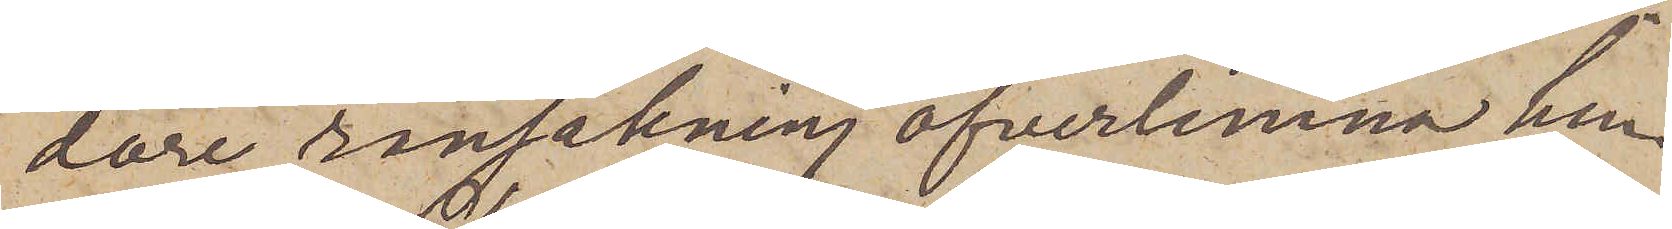dare ransakning öfverlemna hen¬
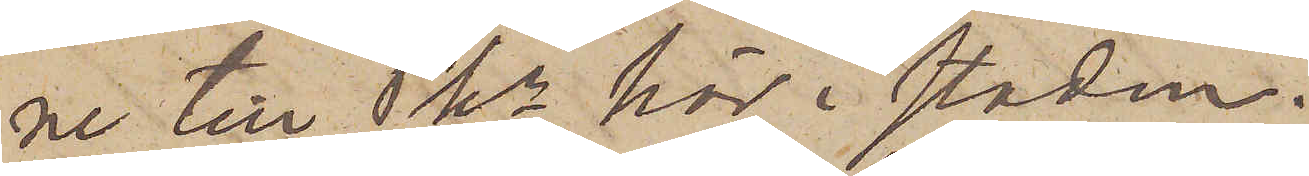ne till Pkr här i staden.
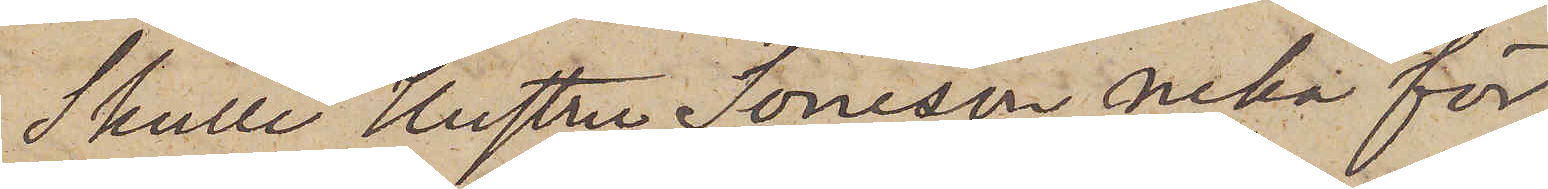Skulle Hustru Soneson neka för,
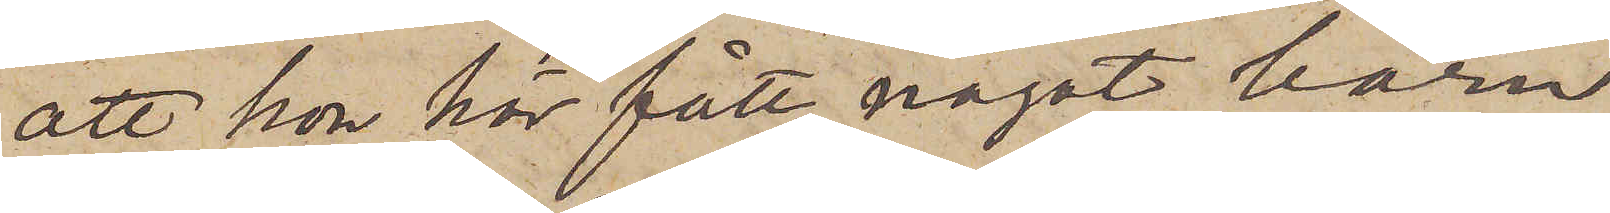att hon här fått något barn
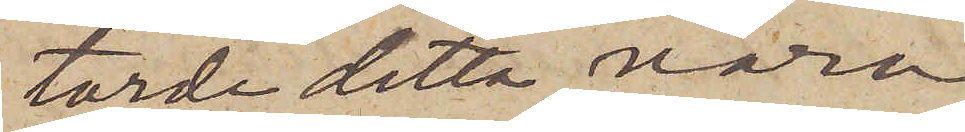torde detta vara
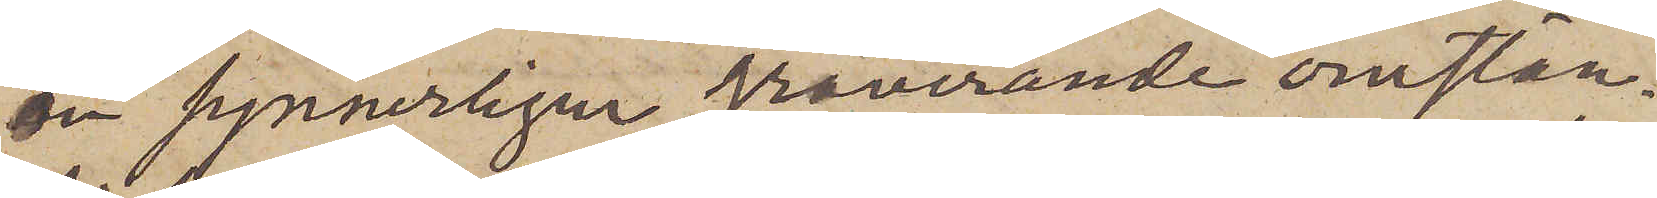en synnerligen graverande omstän¬
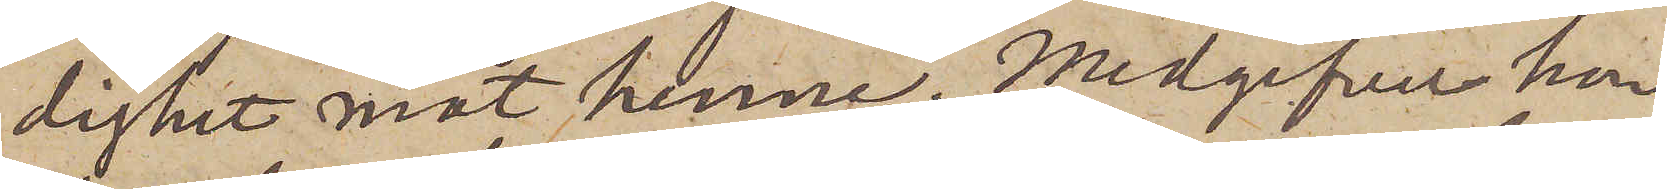dighet mot henne. Medgifver hon
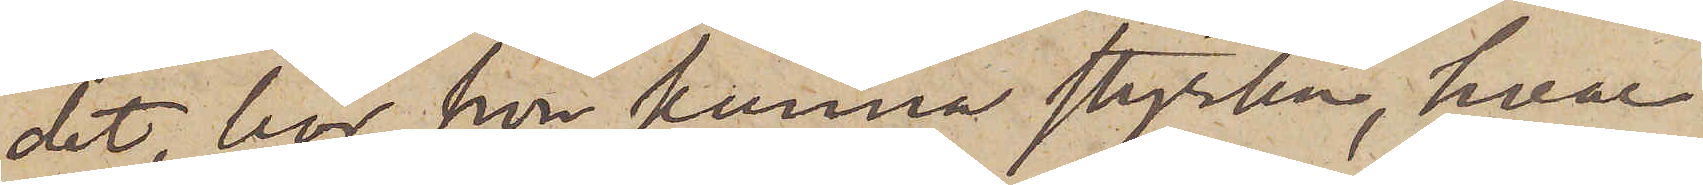det, bör hon kunna styrka, hvar
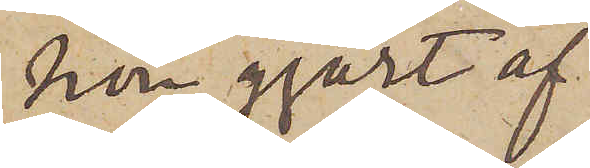hon gjort af
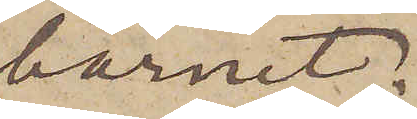barnet.
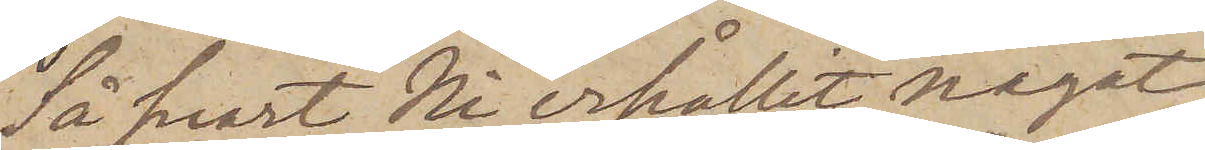Så snart Ni erhållit något
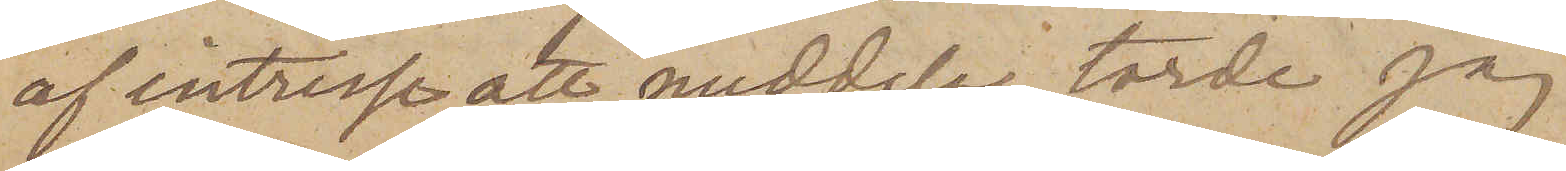af intresse att meddela, torde jag
